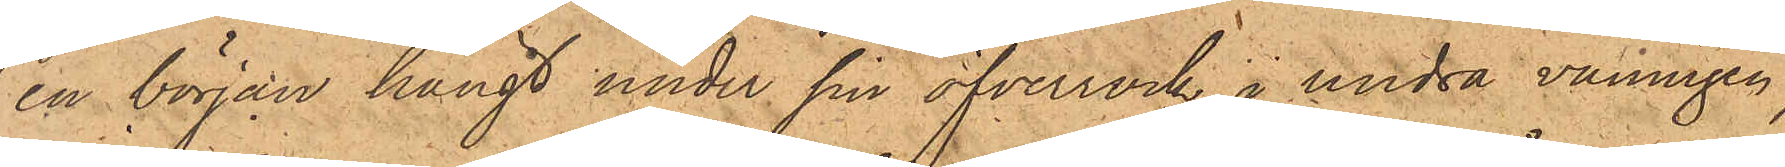en början hängt under sin öfverrock i andra våningen,
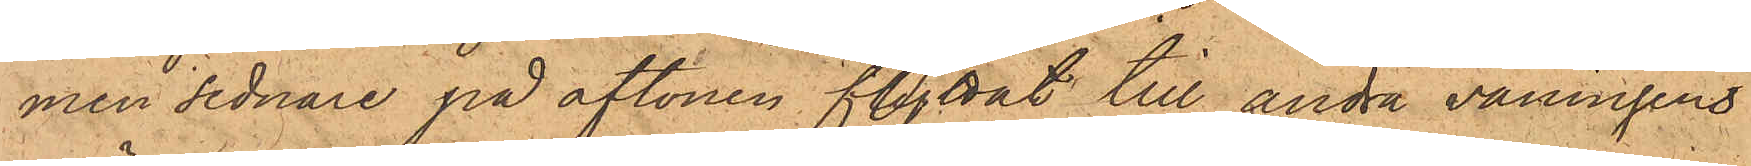men sednare på aftonen flyttat till andra våningens
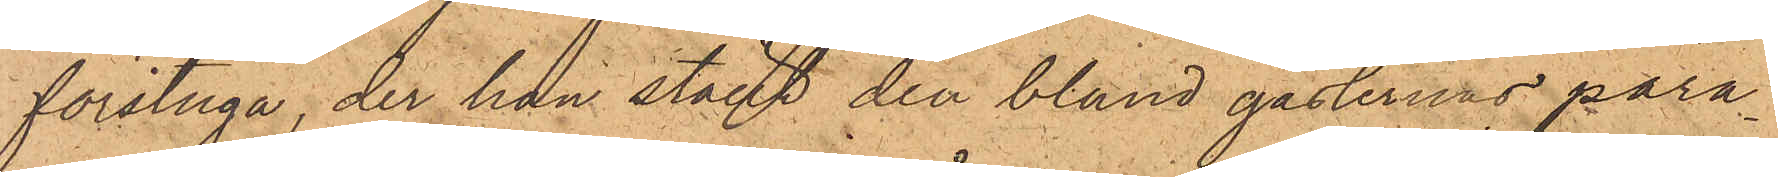förstuga, der han stäldt den bland gästernas para¬
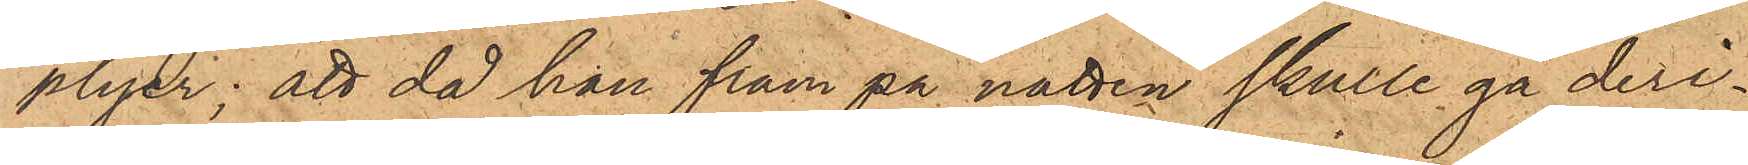plyer; att då han fram på natten skulle gå deri¬
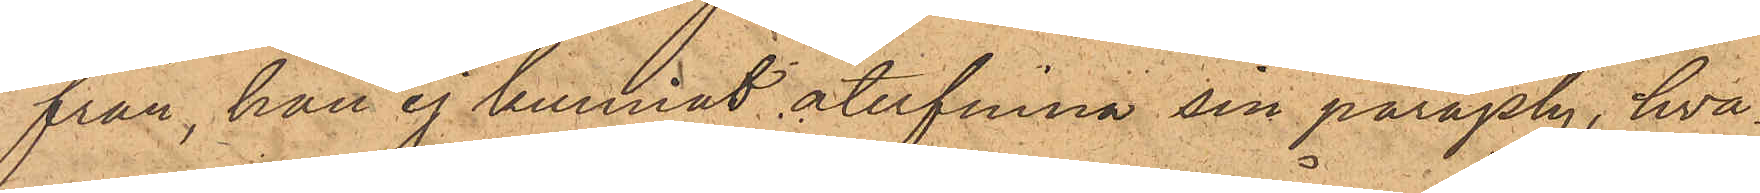från han ej kunnat återfinna sin paraply, hva¬
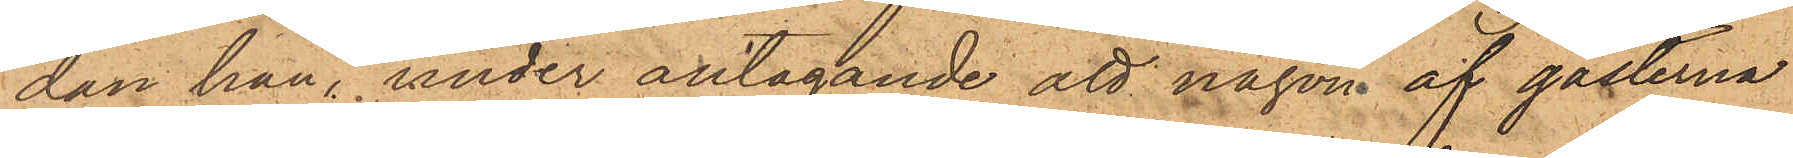dan han, under antagande att någon af gästerna
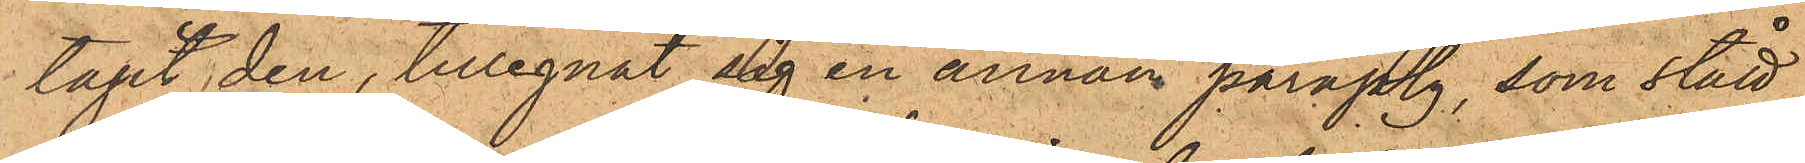tagit den, tillegnat sig en annan paraply, som stått
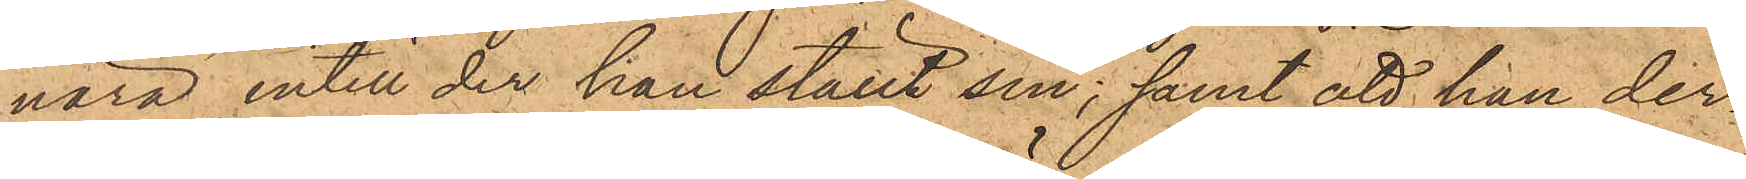nära intill der han ställt sin; samt att han der¬
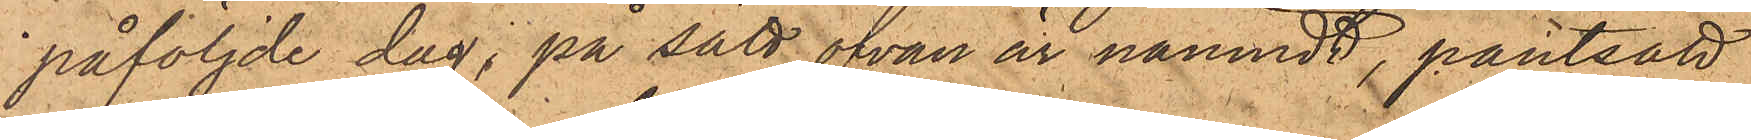påföljde dag, på sätt ofvan är nämndt, pantsatt
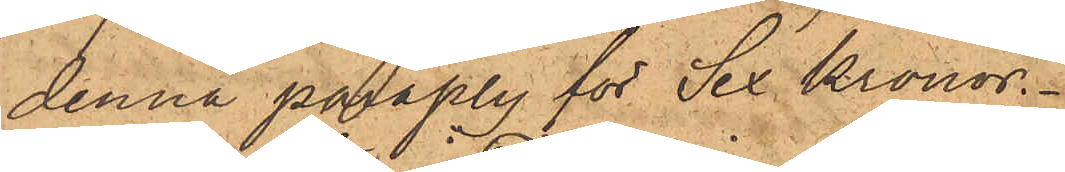denna paraply för Sex Kronor.
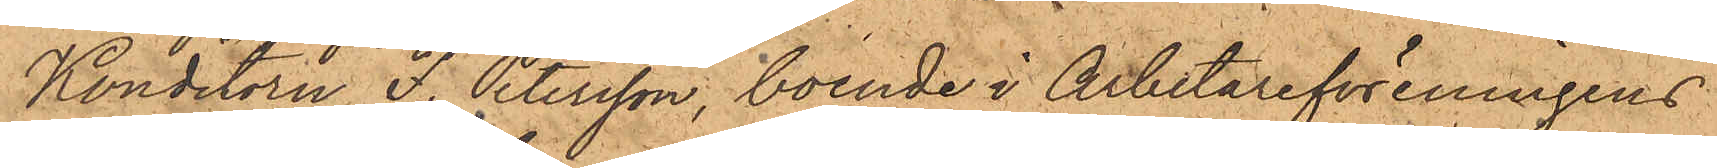Konditorn F. Petersson, boende i Arbetareföreningens
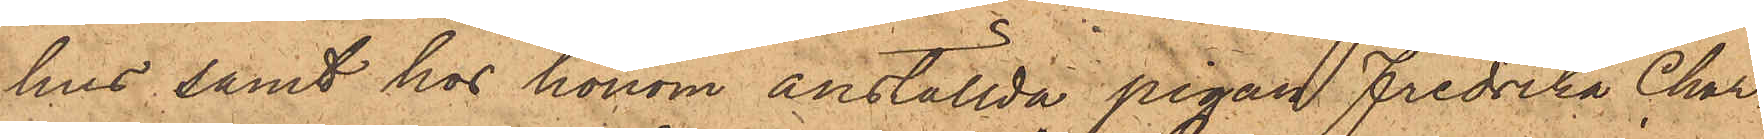hus, samt hos honom anställda pigan Fredrika Char¬
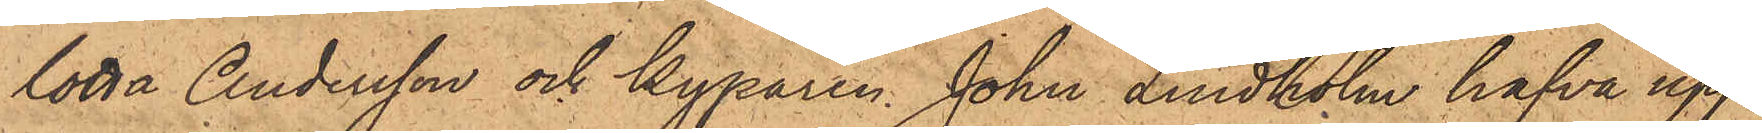lotta Andersson och Kyparen John Lindholm hafva upp¬
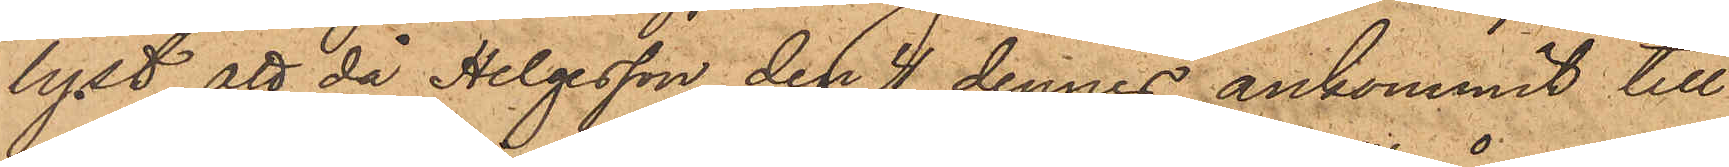lyst, att då Helgesson den 4 dennes ankommit till
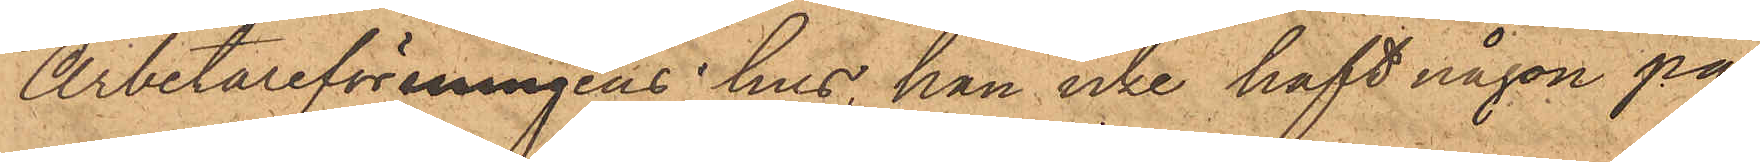Arbetareföreningens hus, han icke haft någon pa¬
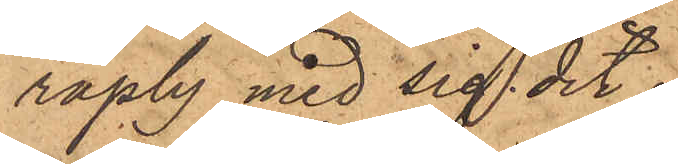raply med sig dit.
